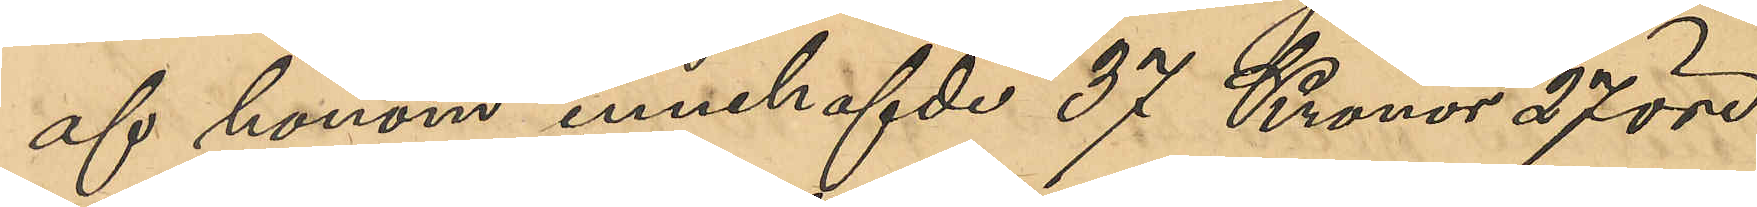af honom innehafvde 37 Kronor 27 öre
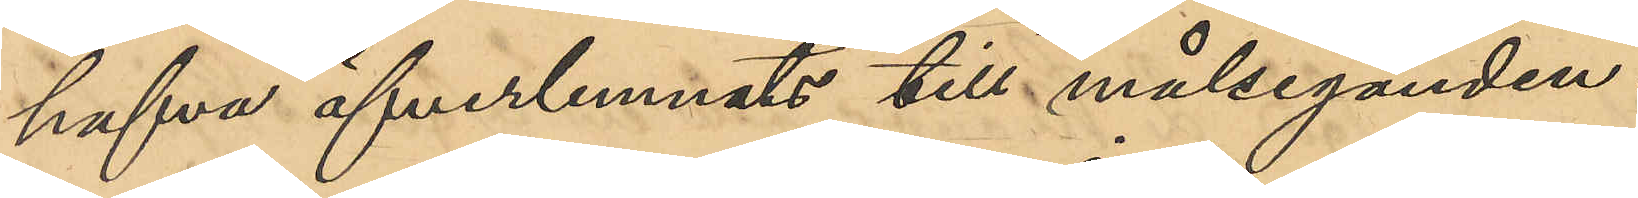hafva överlemnats till målseganden.
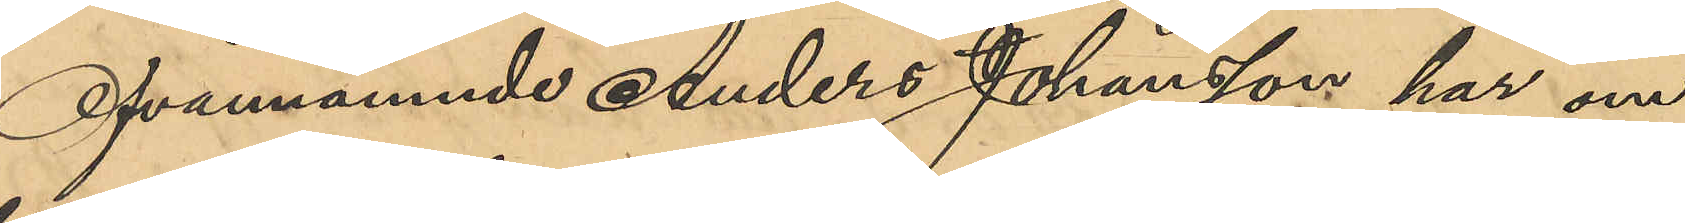Ofvannämnde Anders Johansson har om
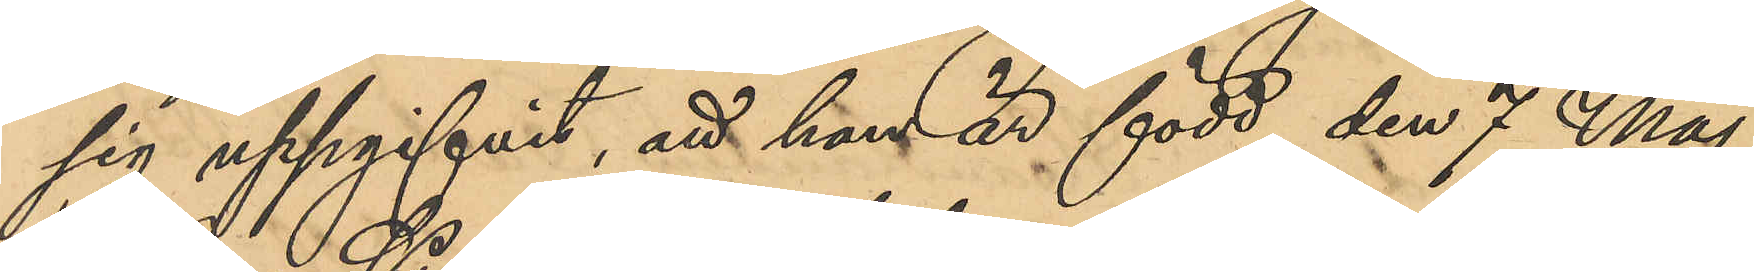sig uppgifvit, att han är född den 7 Maj
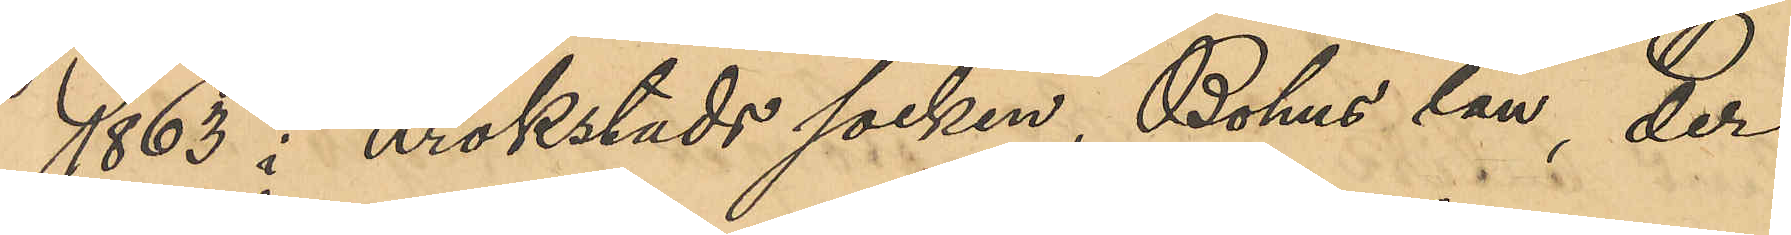1863 i Krokstads socken, Bohus län, der
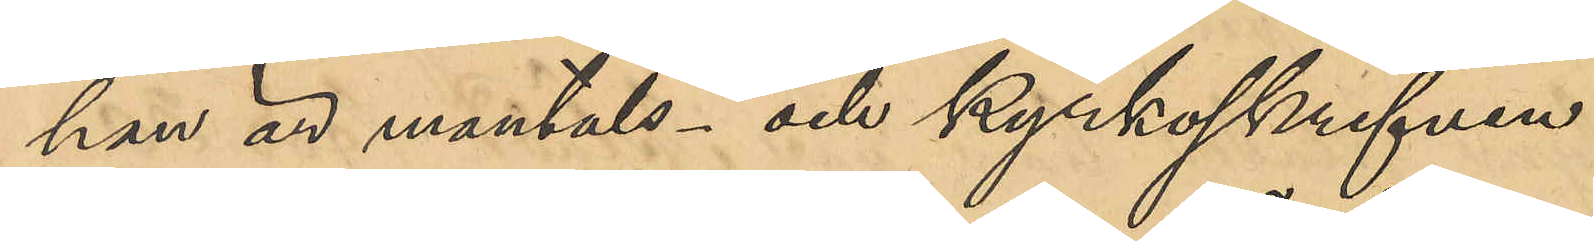han är mantals- och kyrkoskrifven.
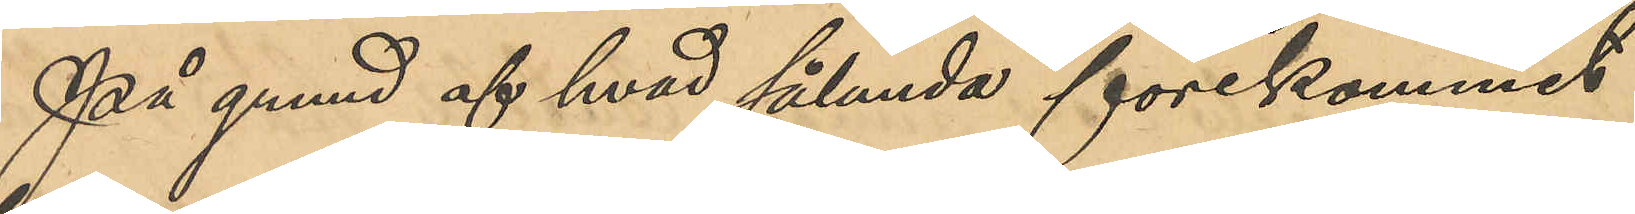På grund hvad sålunda förekommit
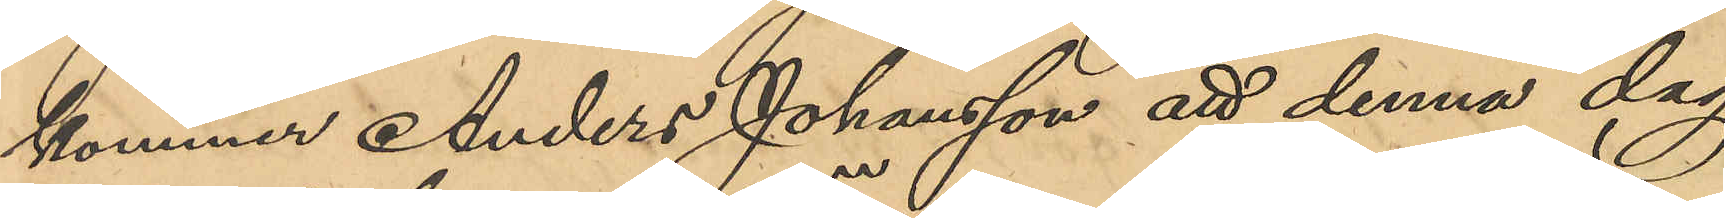kommer Anders Johansson att denna dag
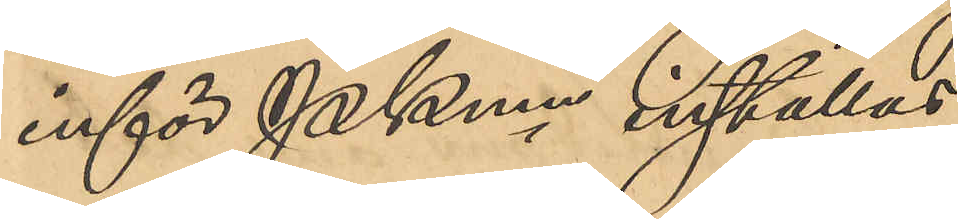inför Pkmn inställas.
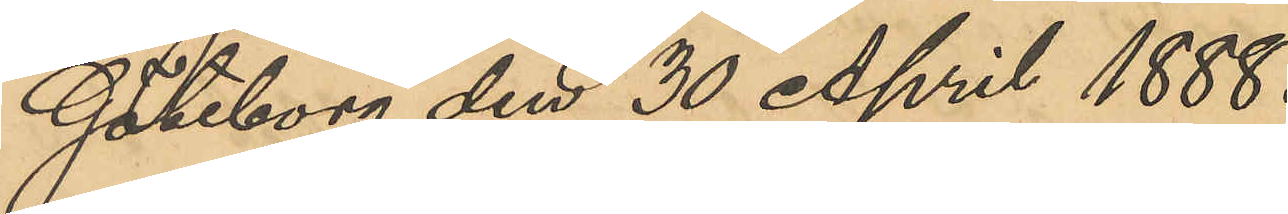Göteborg den 30 April 1888.
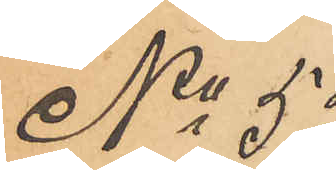No 55
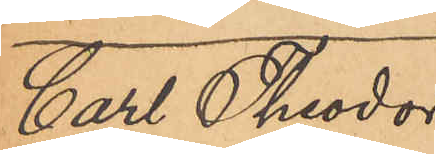Carl Theodor
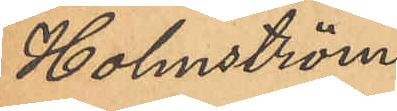Holmström.
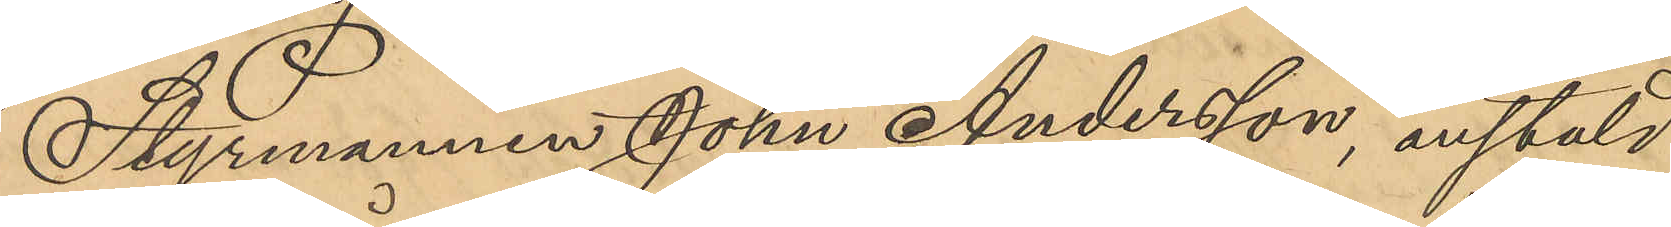Styrmannen Johan Andersson, anstäld
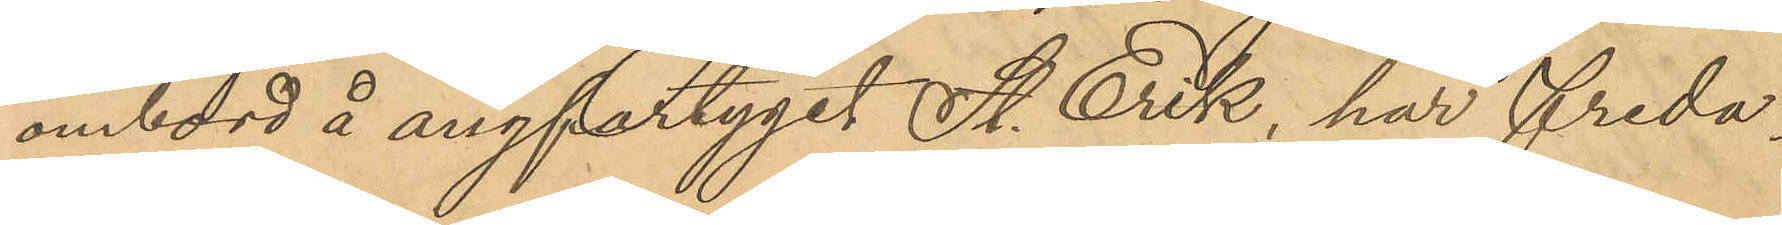ombord å ångfartyget St. Erik, har Freda¬
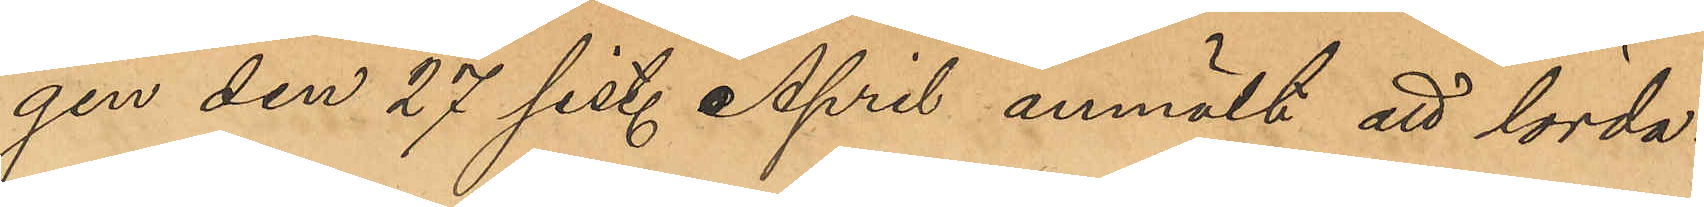gen den 27 sist. April anmält att lörda¬
